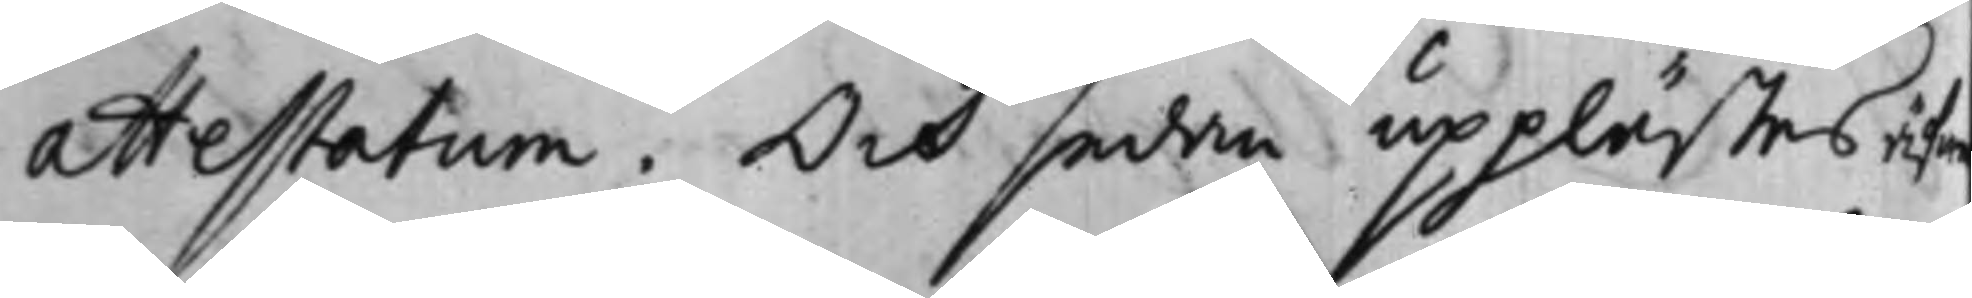attestatum. Och sedan upplästes äfw¬
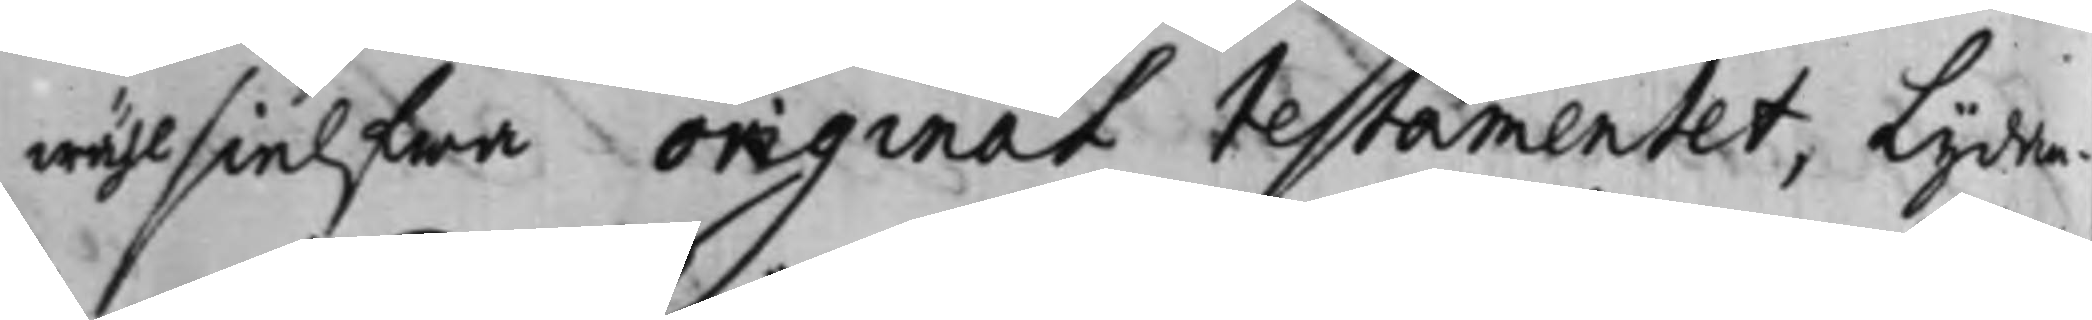wähl sielfwa original testamentet, lydan¬
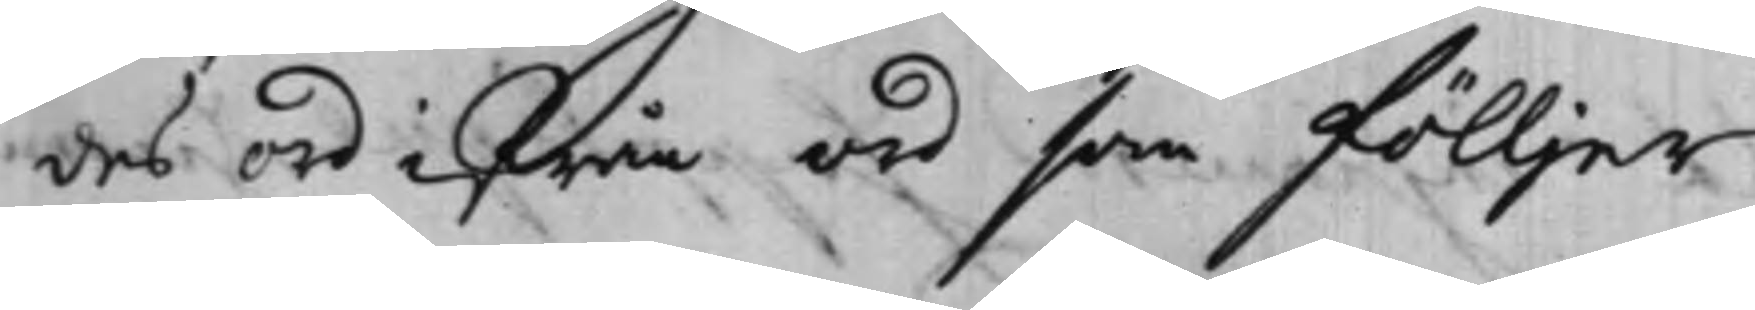des ord ifrån ord som fölljer:
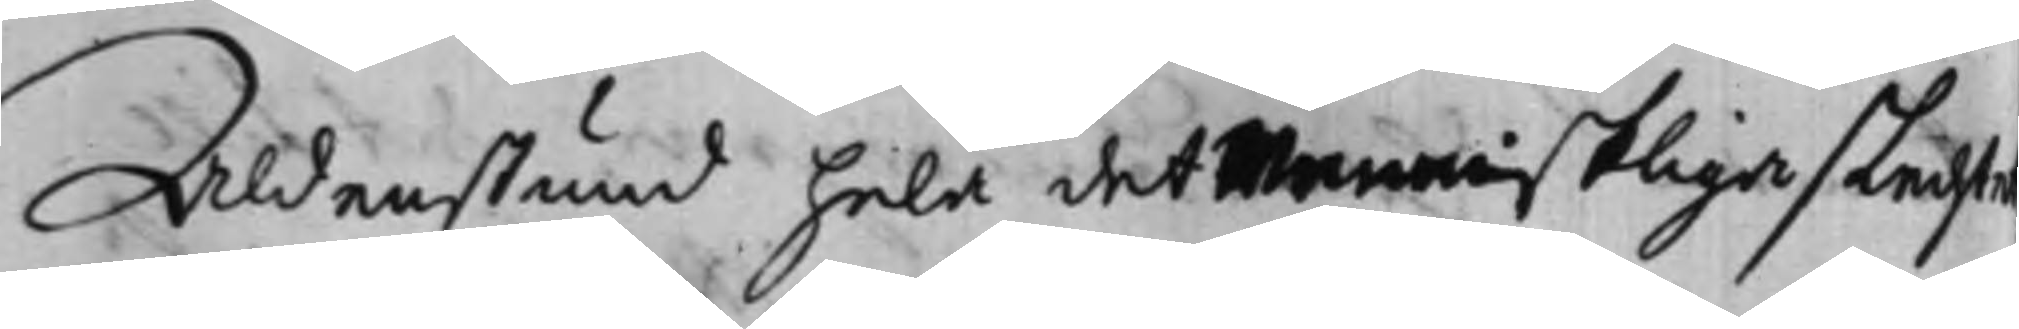Aldenstund hela det Menniskliga slechte
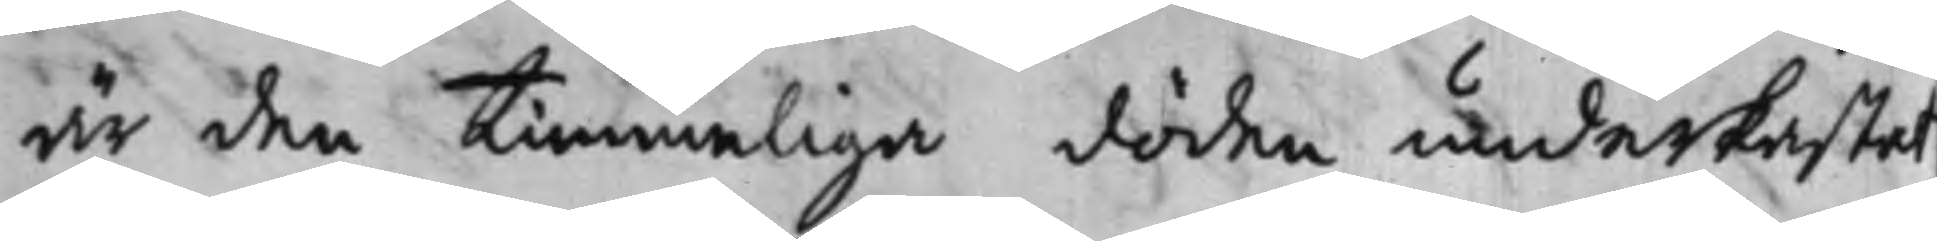är den Timmeliga döden underkastat
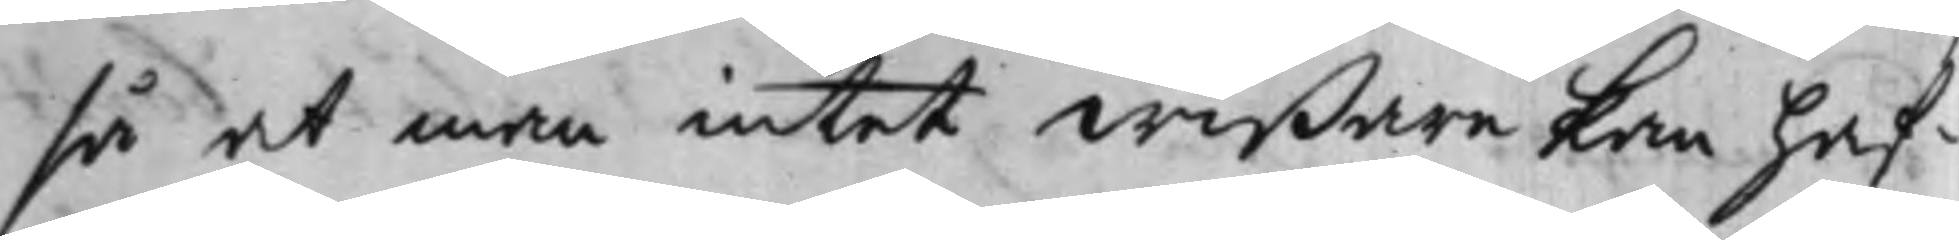så at man intet wißare kan haf¬
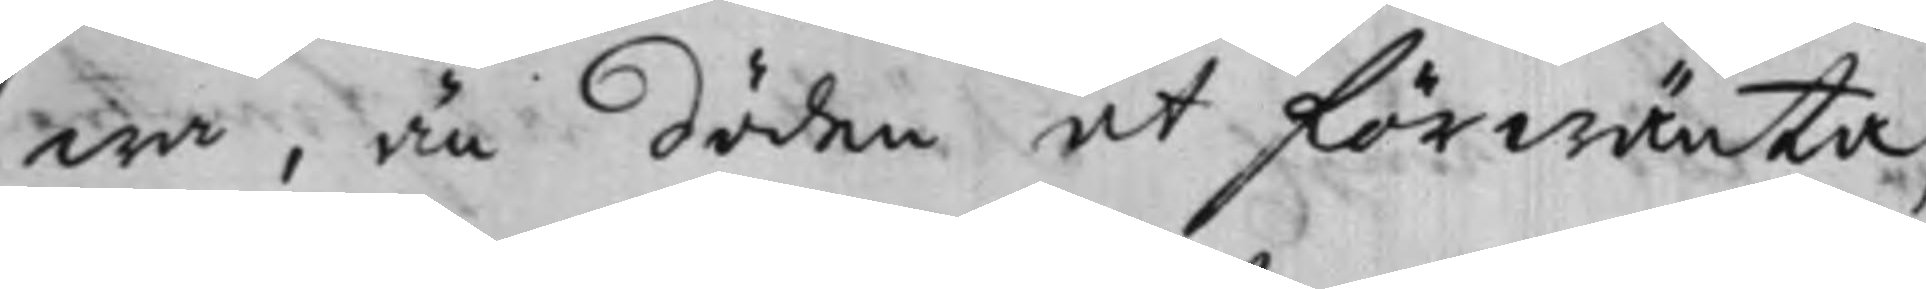wa, än döden at förwänta,
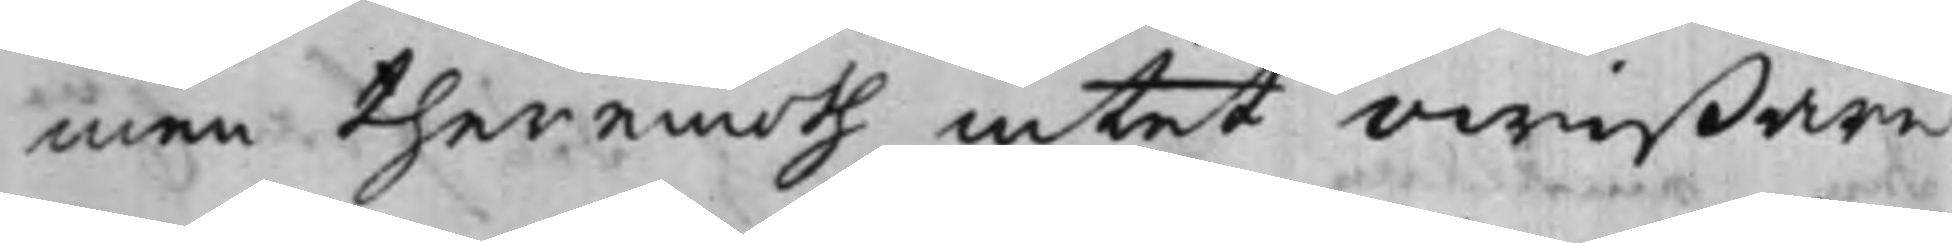men theremoth intet owißare
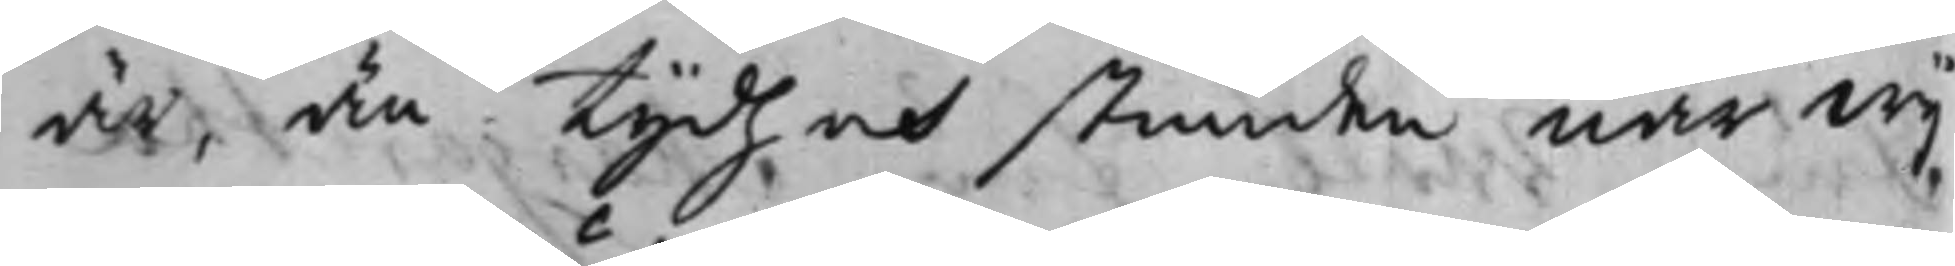är, än Tijdh och stunden när wij,
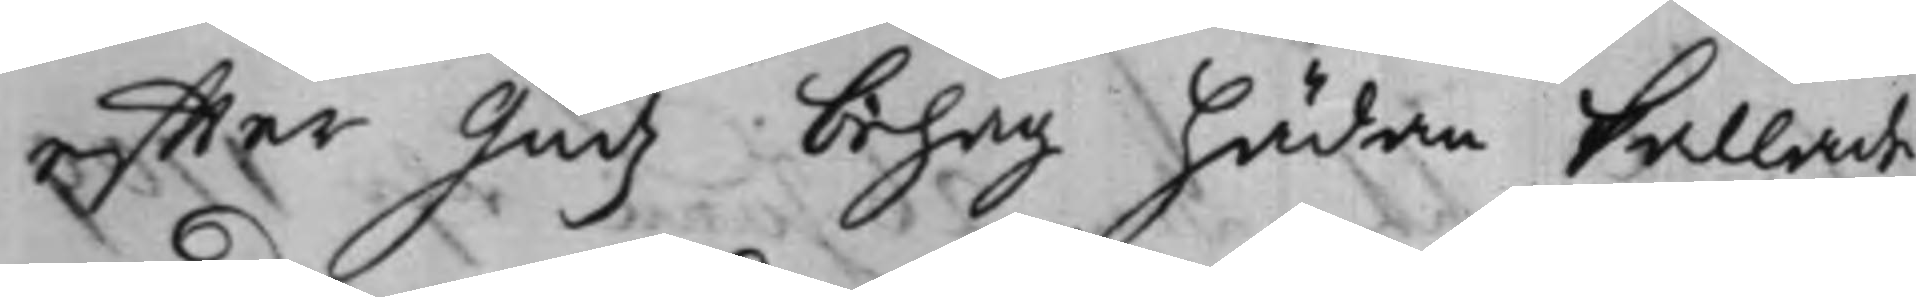effter Gudz behag hädan kallade
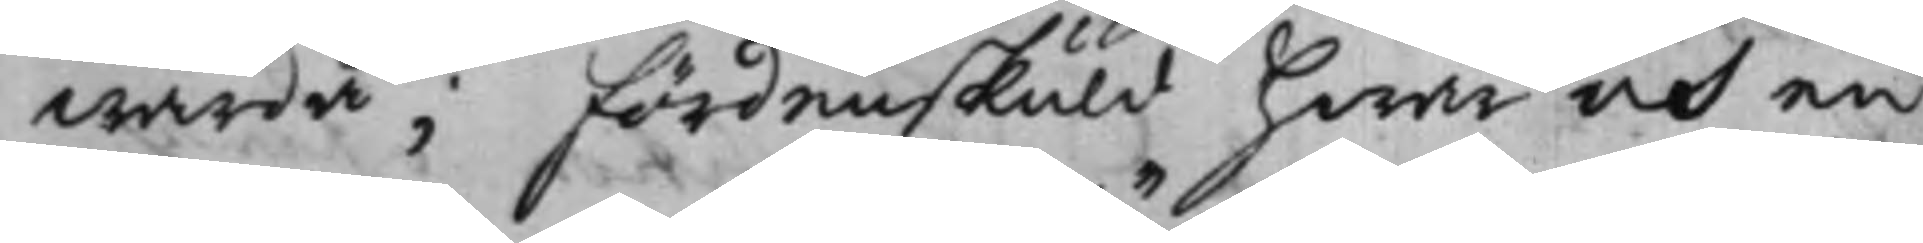warda; fördenskuld hwar och en
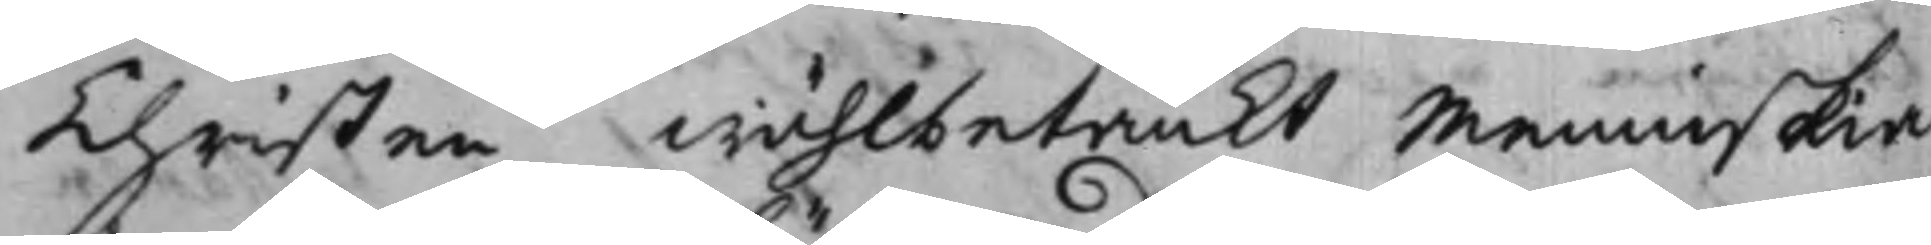Christen wählbetänkt Menniskia
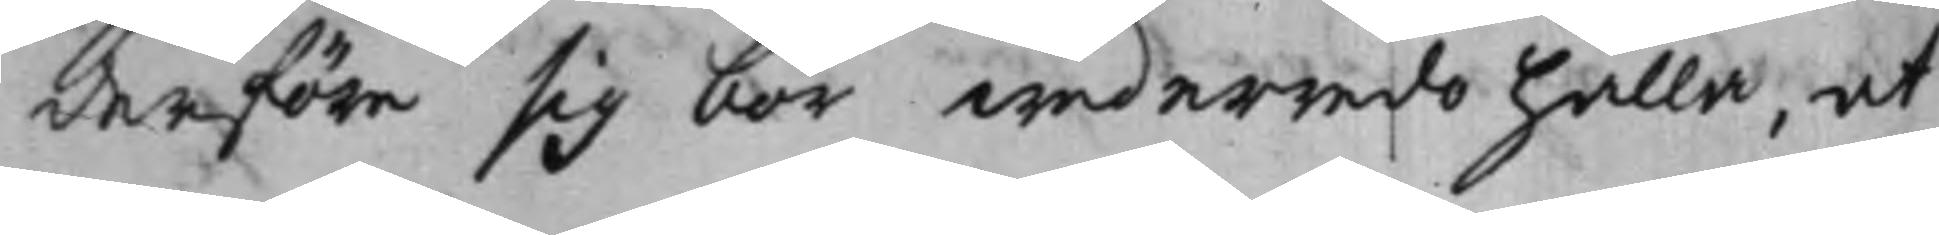derföre sig bör wederredo hålla, at
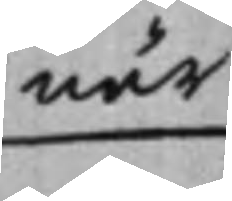när
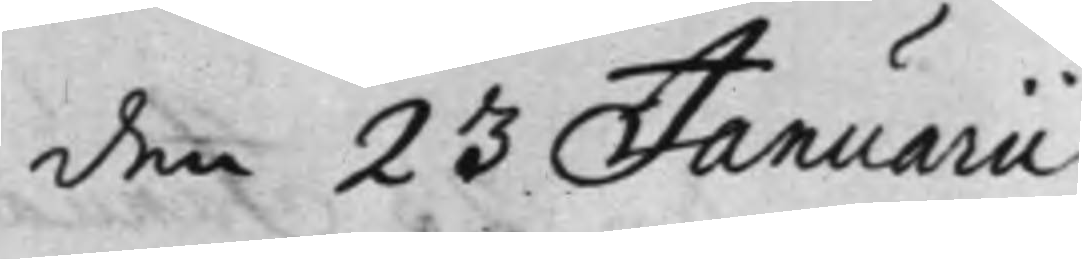den 23 Januarii
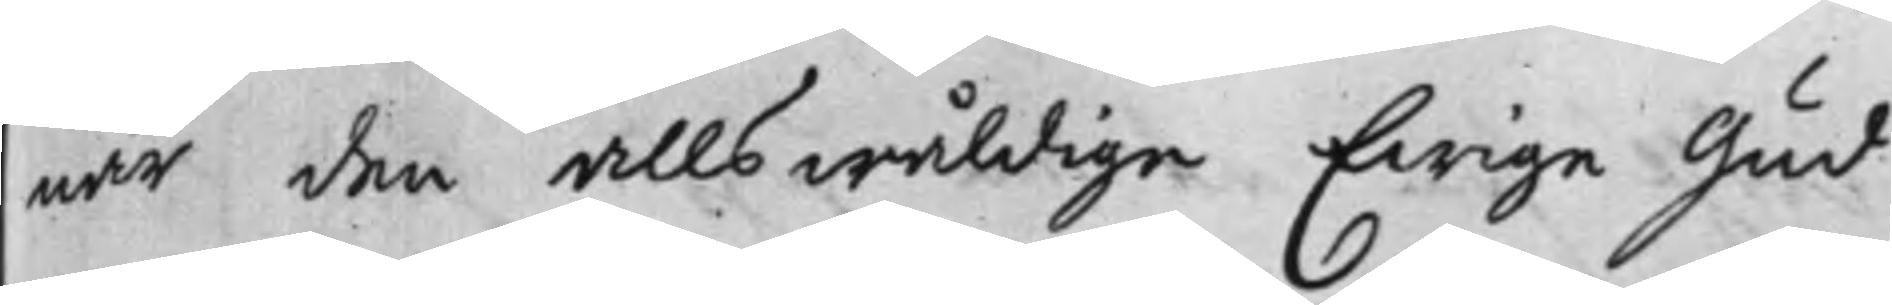när den allswåldige Ewige Gud
